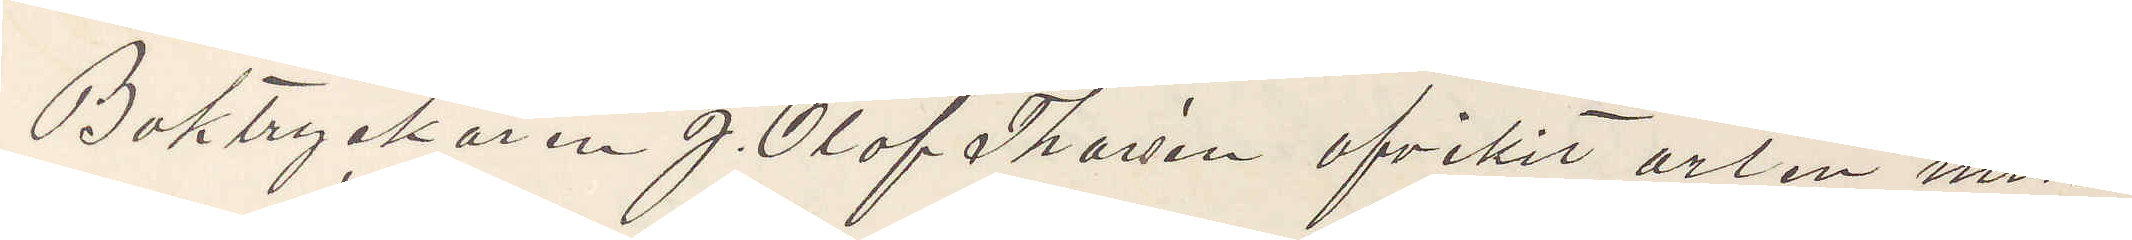Boktryckaren J. Olof Thorsén afvikit orten miss¬
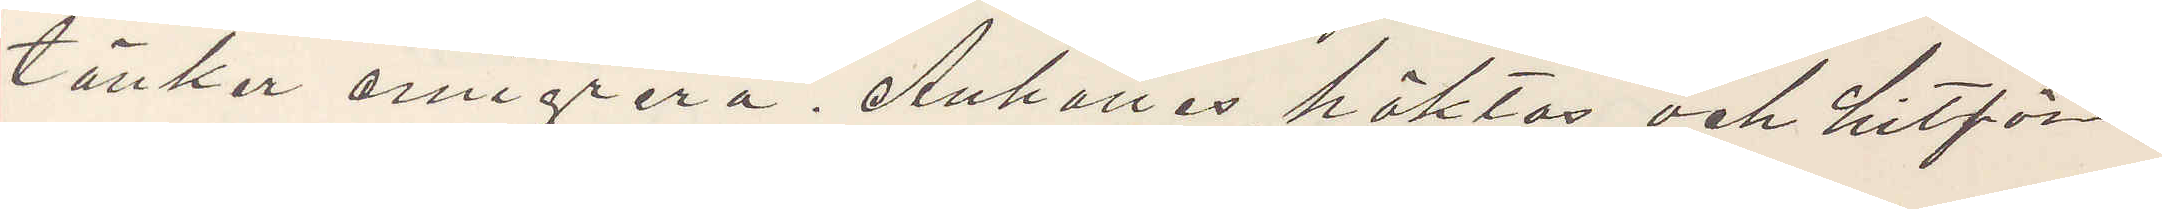tänker emigrera. Anhålles, häktas och hitför¬
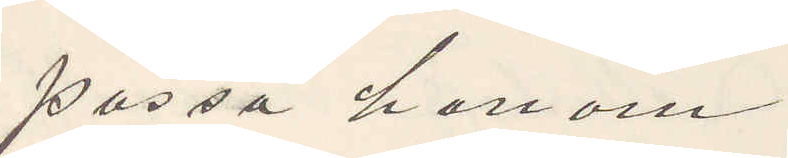passa honom.
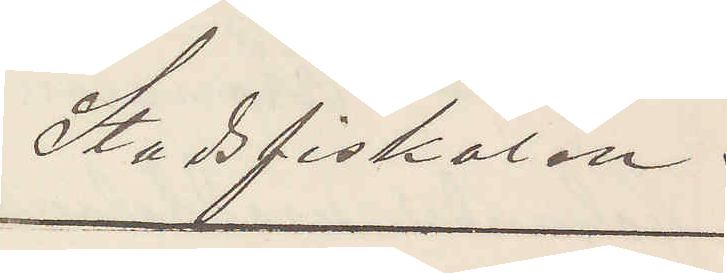Stadsfiskalen.
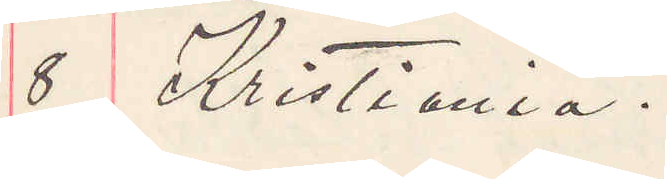8 Kristiania.
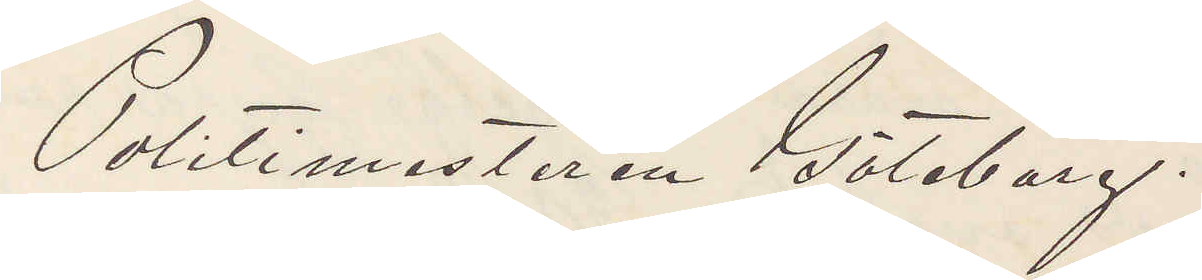Politimästaren Göteborg.
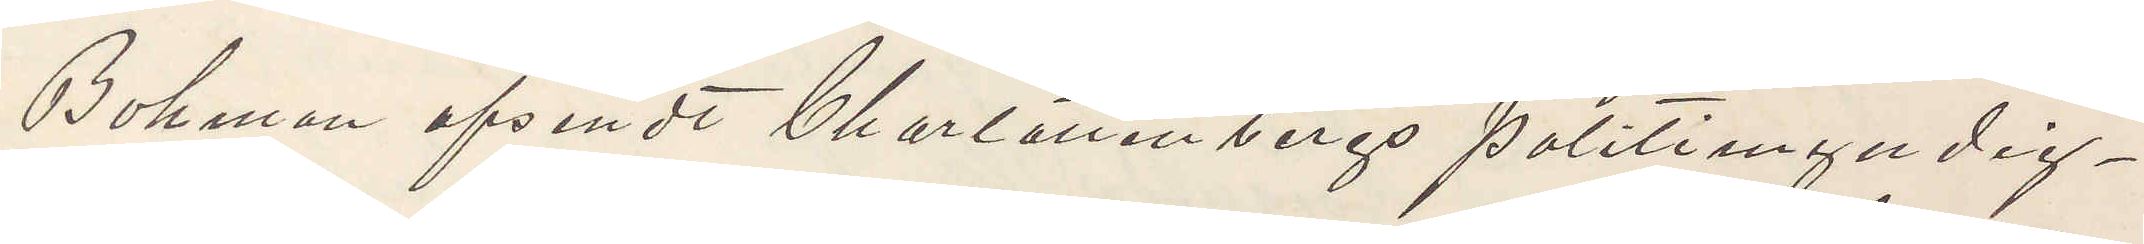Bohman afsändt Charlottenbergs politimyndig¬
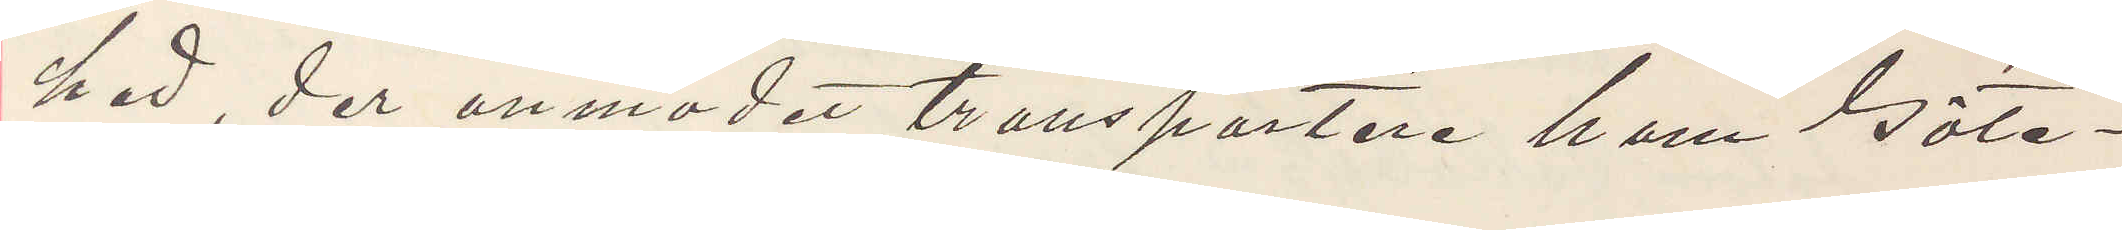hed, der anmodet transportere ham Göte¬
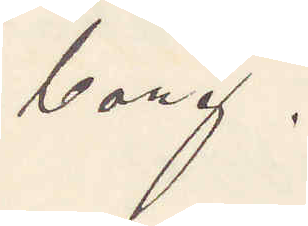borg.
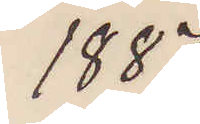1887
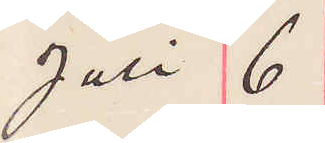Juli 6
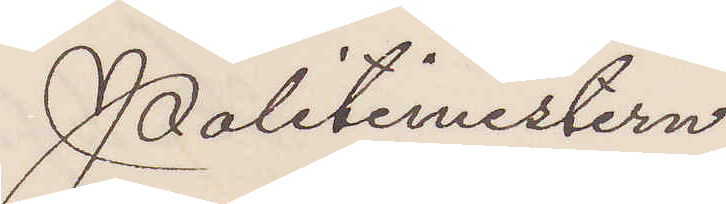Politimestern
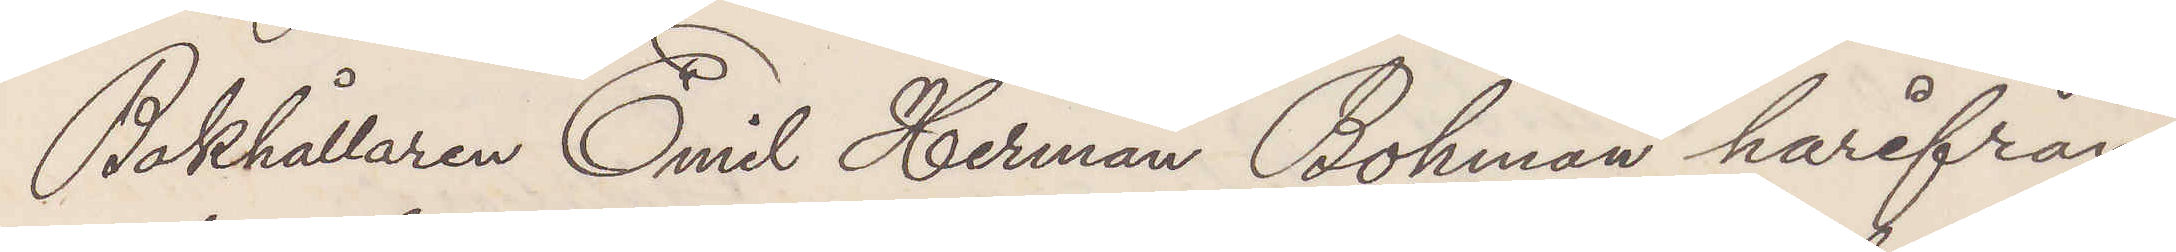Bokhållaren Emil Herman Bohman härifrån
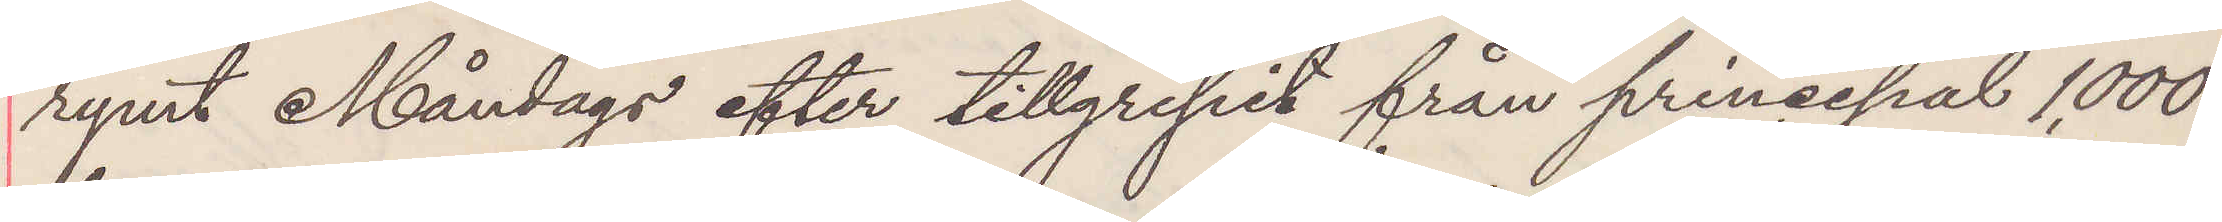rymt Måndags efter tillgripit från principal 1,000
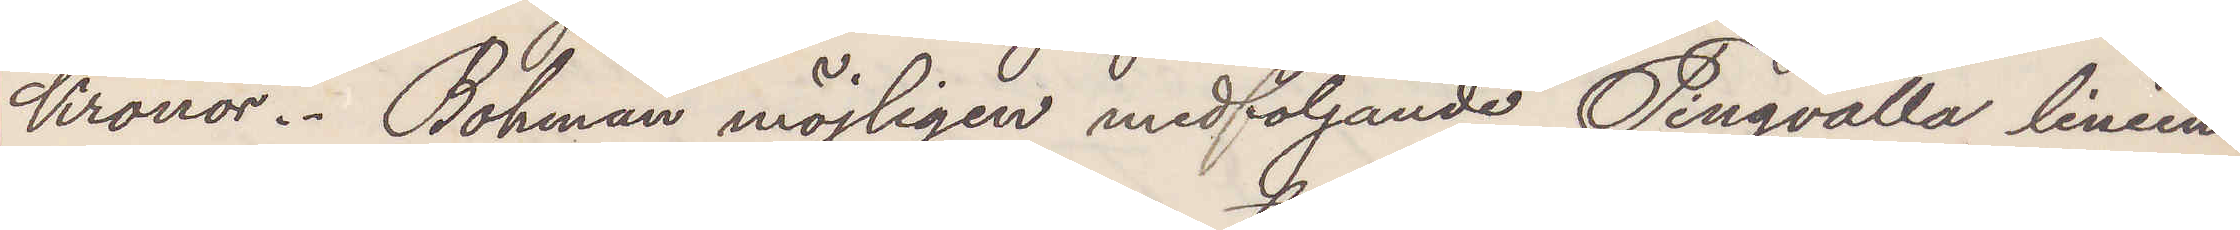Kronor. Bohman möjligen medföljande Tingvalla liniens
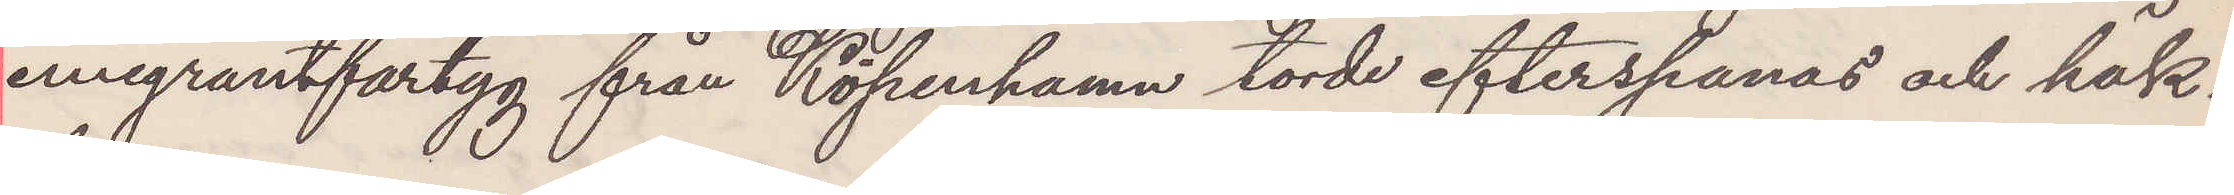emigrantfartyg från Köpenhamn torde efterspanas och häk¬
